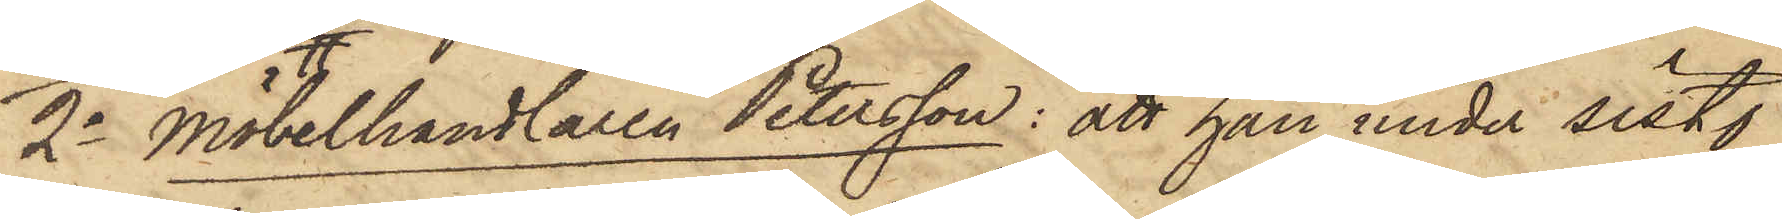2o Möbelhandlaren Petersson: att han under sist.
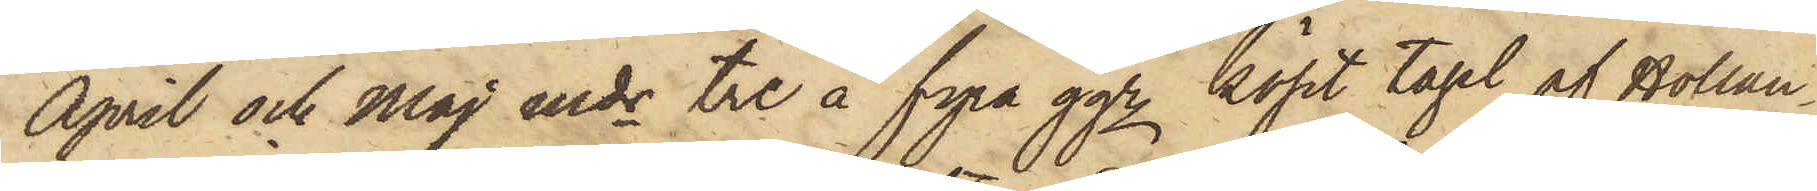April och Maj mdr tre à fyra ggr köpt tagel af Hollan¬
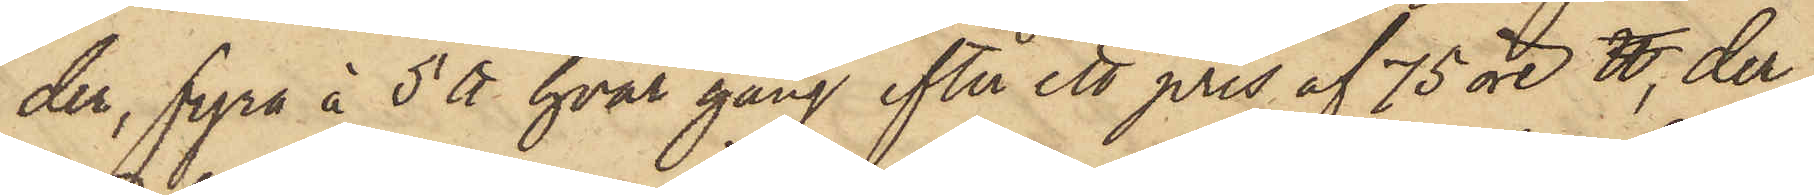der, fyra à 5 ℔ hvar gång efter ett pris af 75 öre ℔, der¬
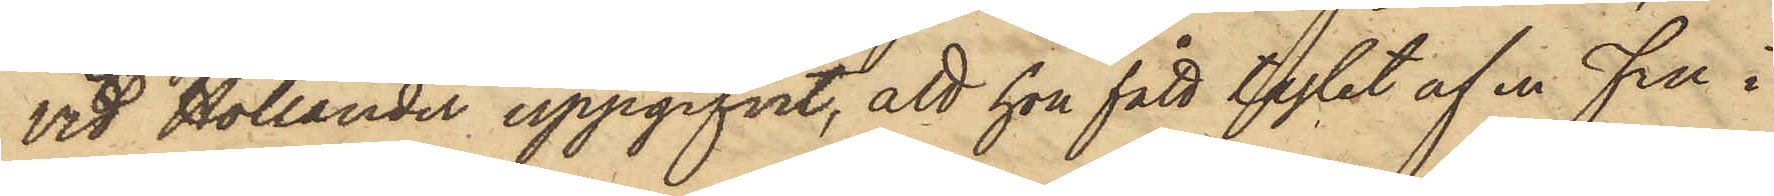vid Hollander uppgifvit, att hon fått taglet af en Fru i
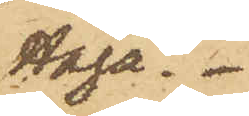Haga.
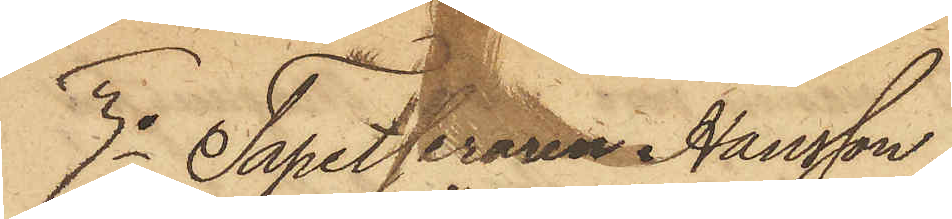3o Tapetseraren Hansson,
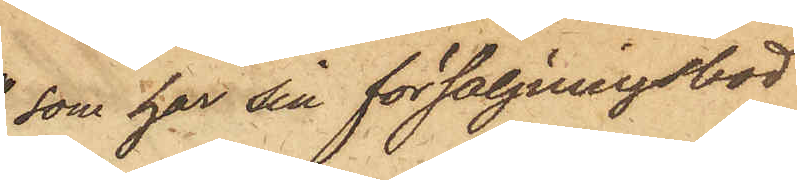som har sin försäljningsbod
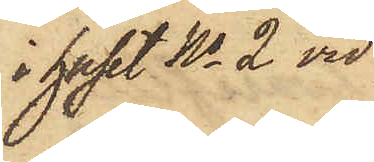i huset No 2 vid
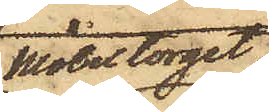Möbeltorget,
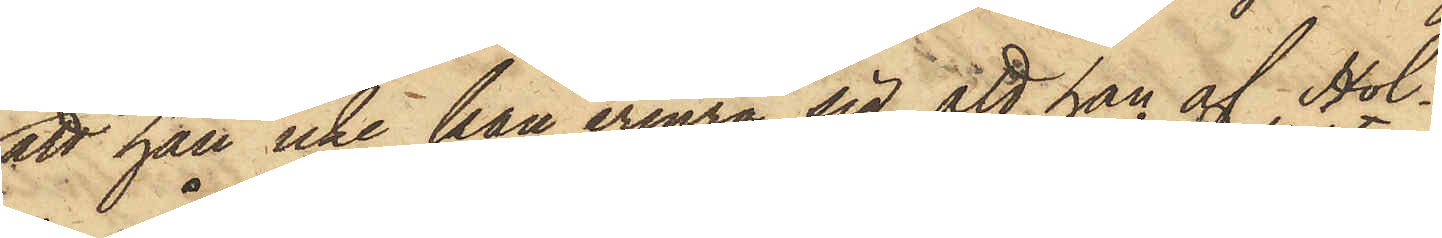att han icke han erinra sig att han af Hol¬
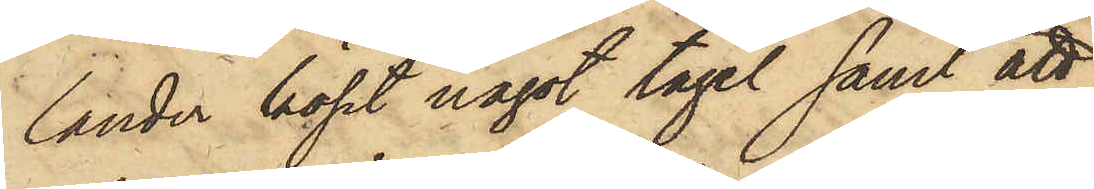lander köpt något tagel samt att
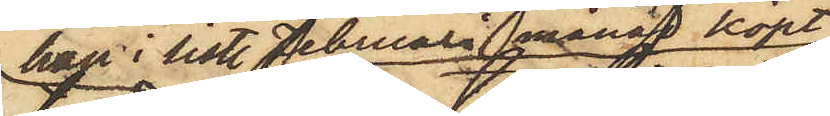han i sistl. Februari månad köpt
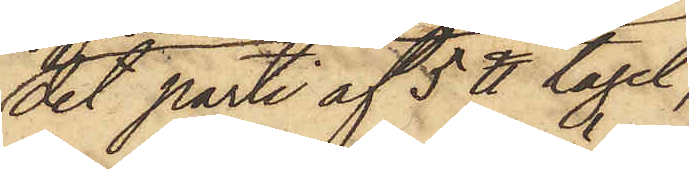det parti af 5 ℔ tagel,
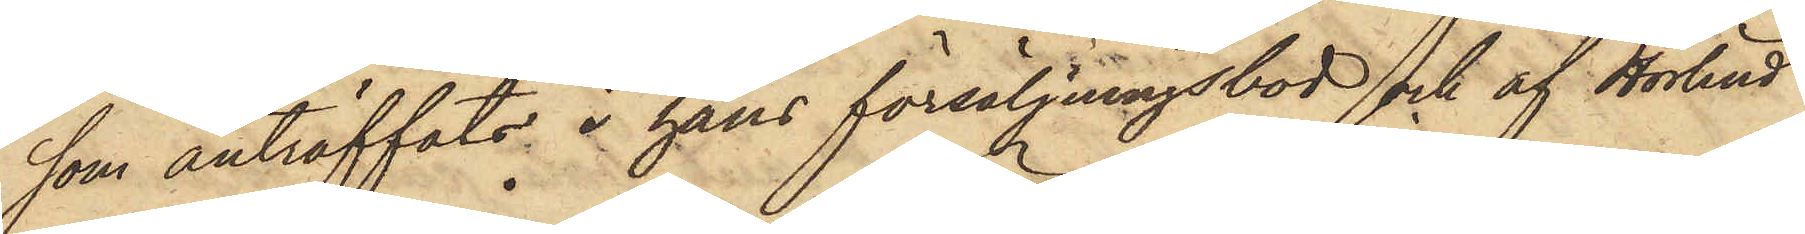som anträffats i hans försäljningsbod och af Hörlind
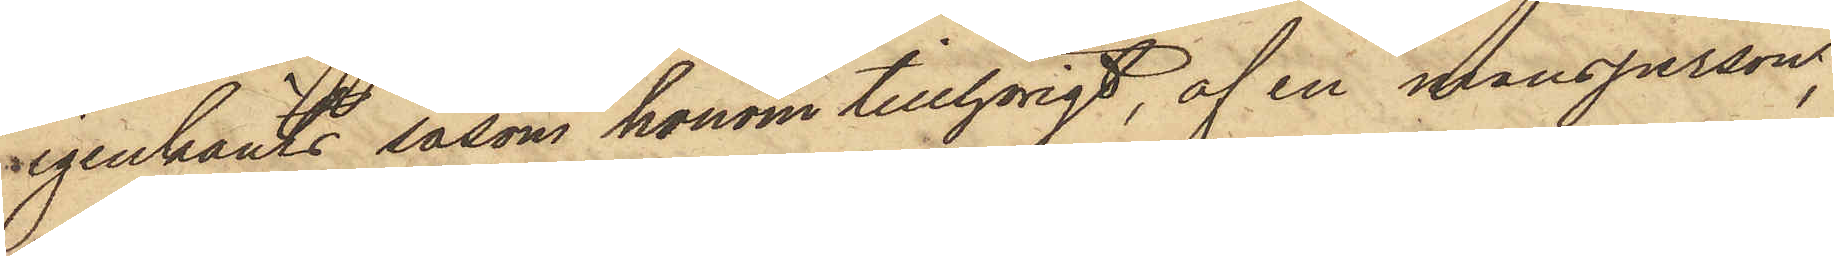igenkänts såsom honom tillhörigt, af en mansperson,
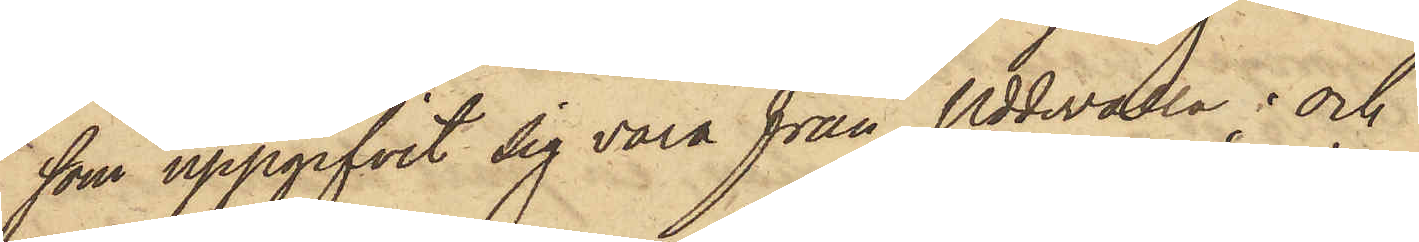som uppgifvit sig vara från Uddevalla; och
